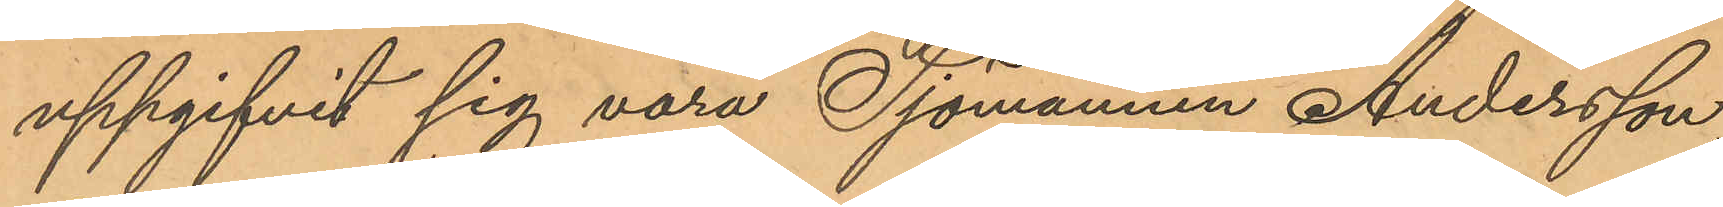uppgifvit sig vara Sjömannen Andersson,
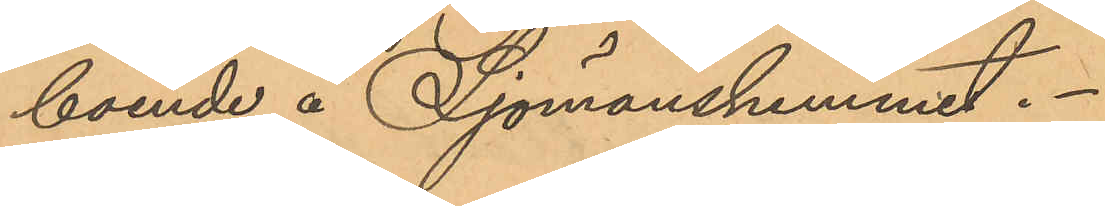boende å Sjömanshemmet.
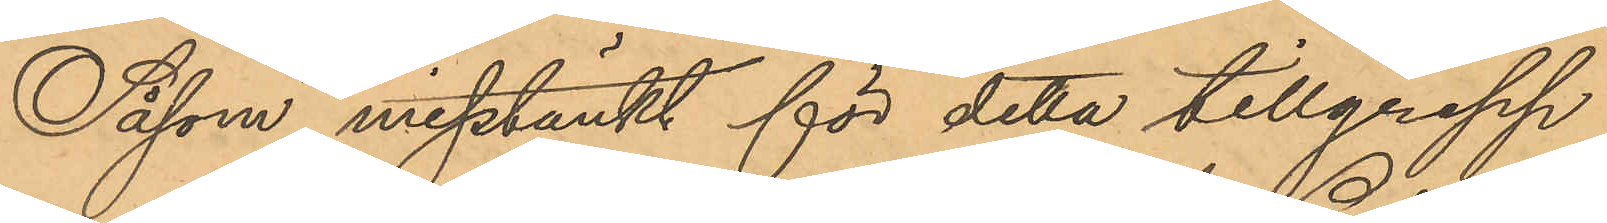Såsom misstänkt för detta tillgrepp
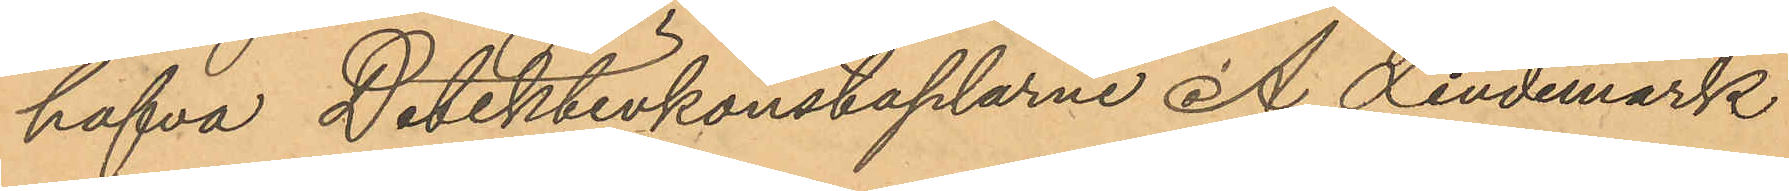hafva Detektivkonstaplarne A. Lindemark
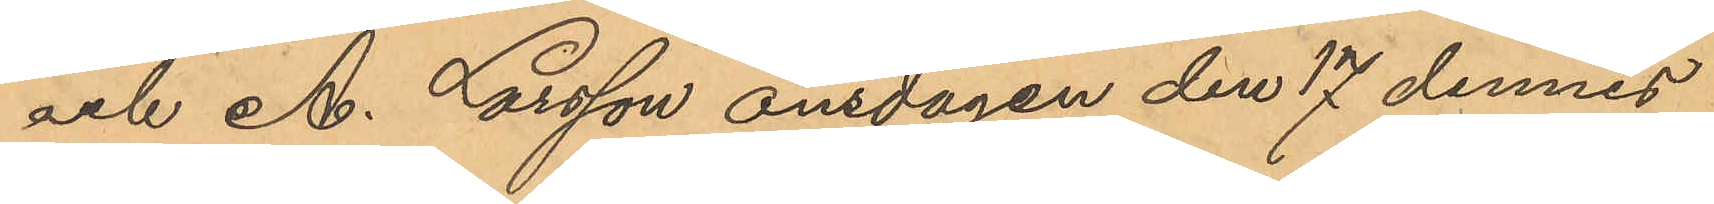och A. Larsson onsdagen den 17 dennes
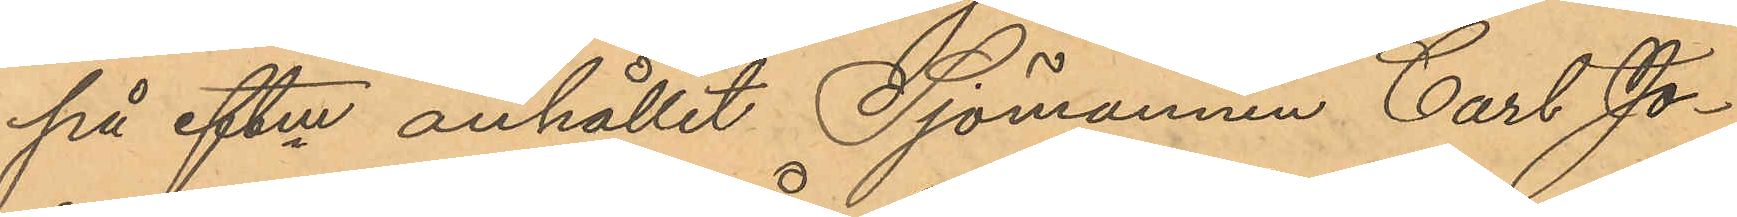på eftm anhållit Sjömannen Carl Jo¬
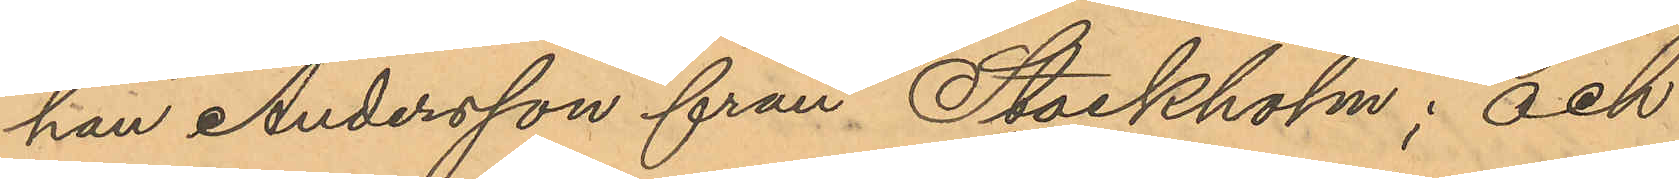han Andersson från Stockholm; och
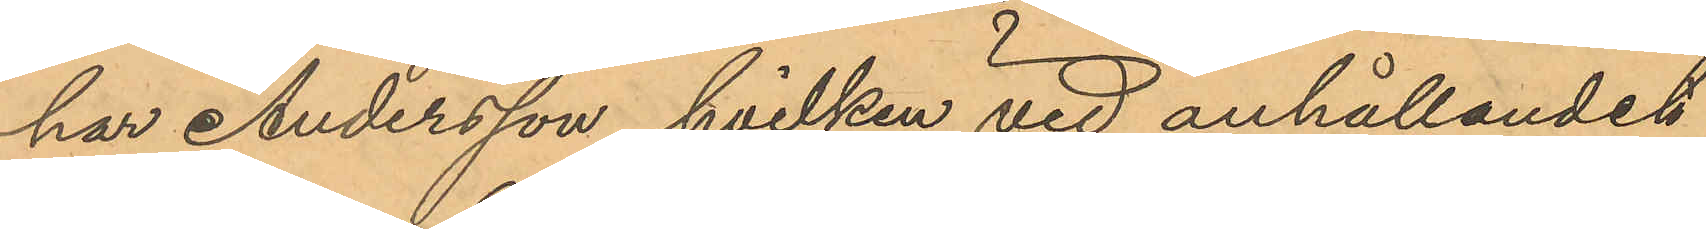har Andersson, hvilken vid anhållandet
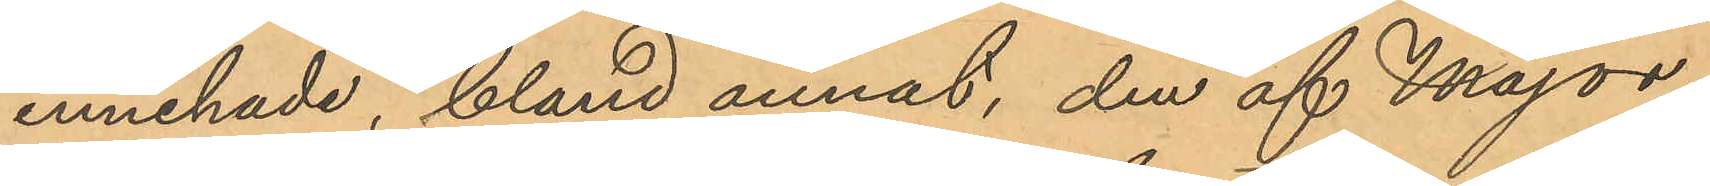innehade, bland annat, den af Major¬
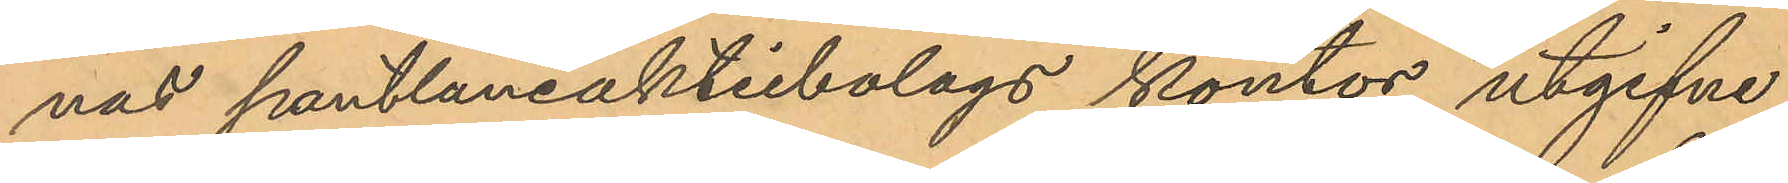nas pantlåneaktiebolags kontor utgifne
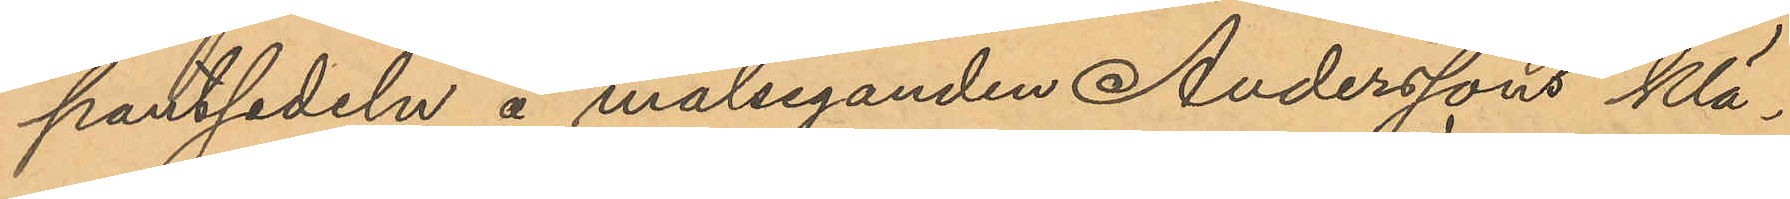pantsedeln å målseganden Anderssons klä¬
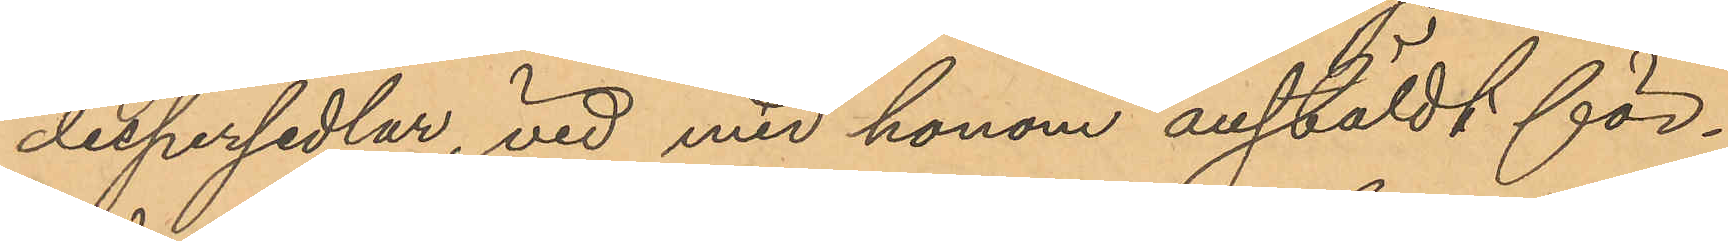despersedlar, vid med honom anstäldt för¬
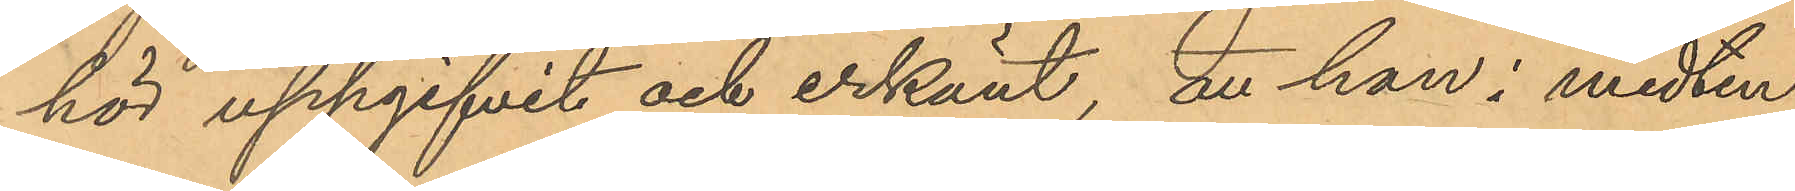hör uppgifvit och erkänt, att han i midten
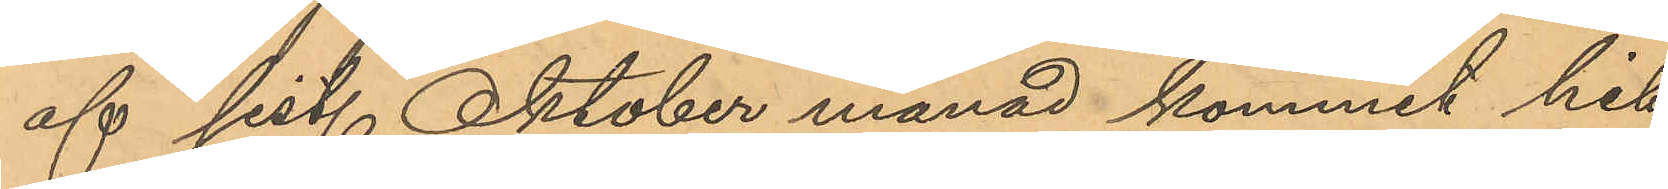af sist. Oktober månad kommit hit
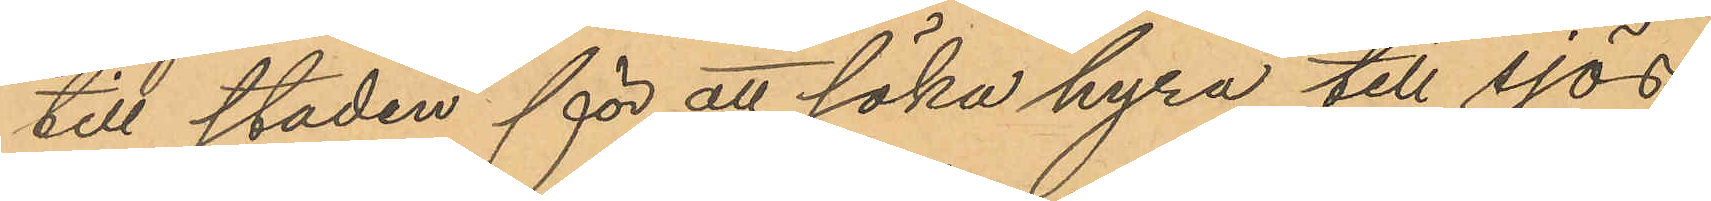till staden för att söka hyra till sjös;
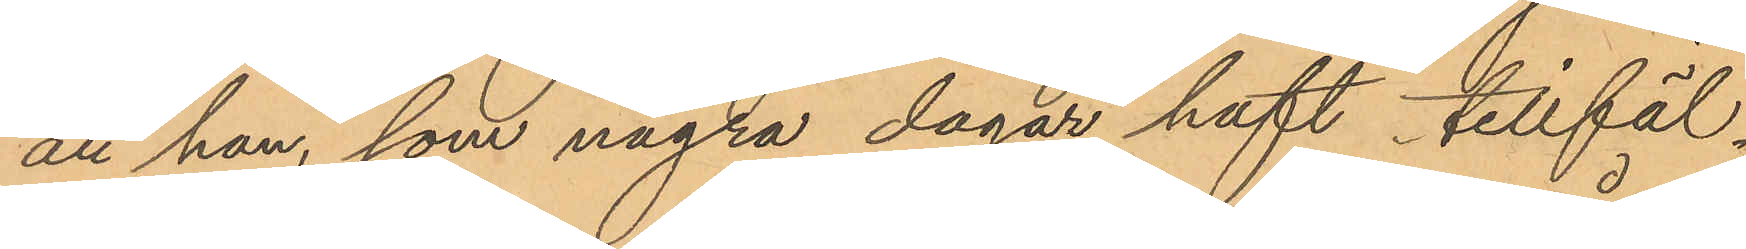att han, som några dagar haft tillfäl¬
